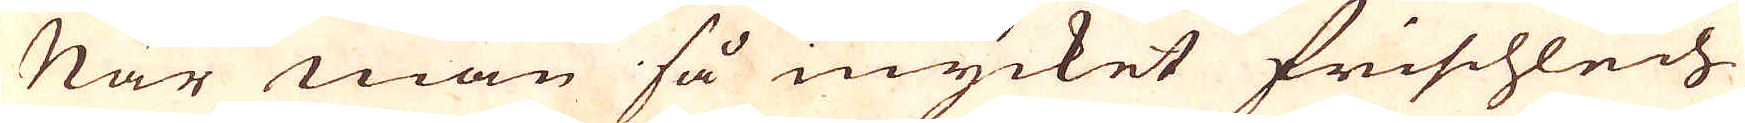När man så mycket frischlech
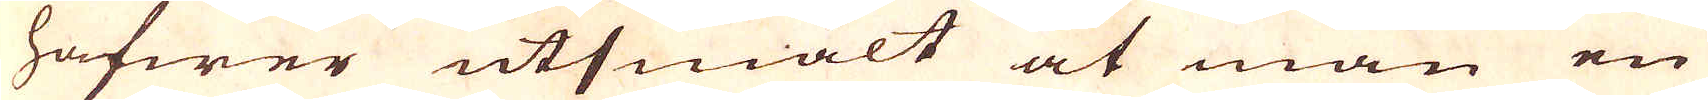hafwer utsmält at man en
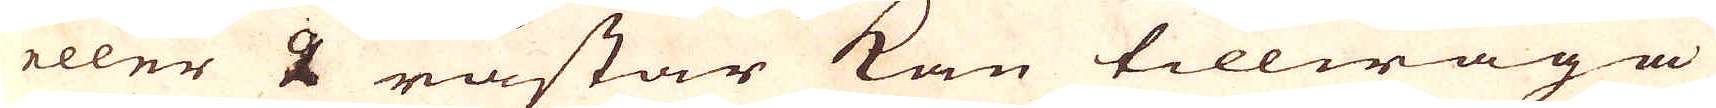eller 2 råstar kan tillwäga
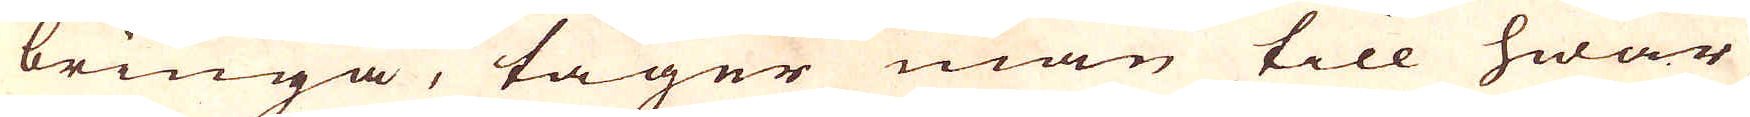bringa, tager man till hwar
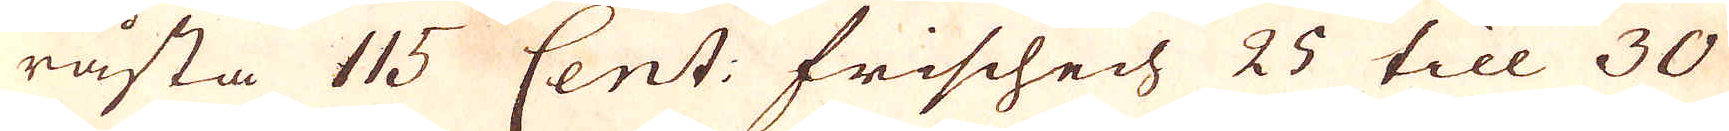råsta 115 Cent: Frischech 25 till 30
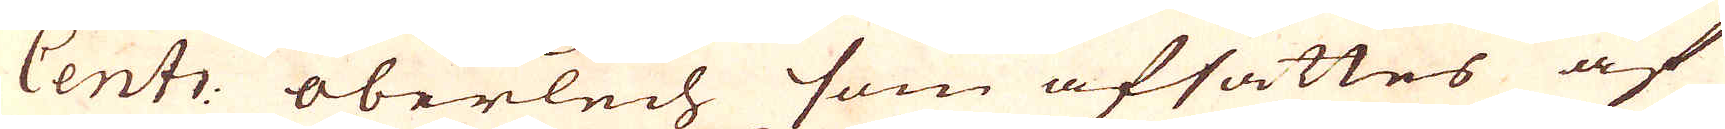Cent: oberlech som afsättes af
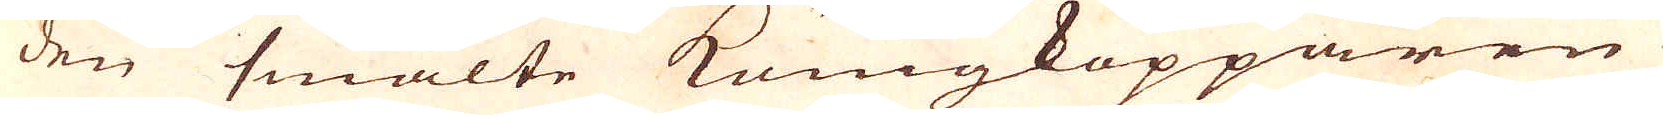den smälte kungkopparen
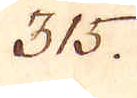315.
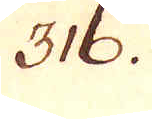316.
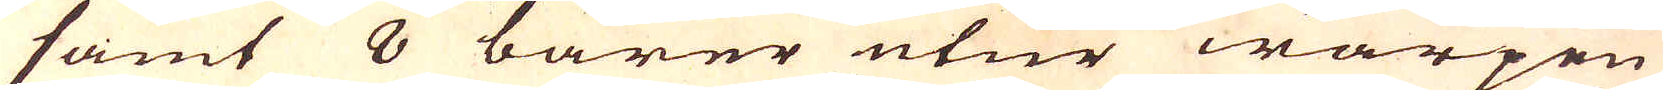samt 8 barer utur warpen
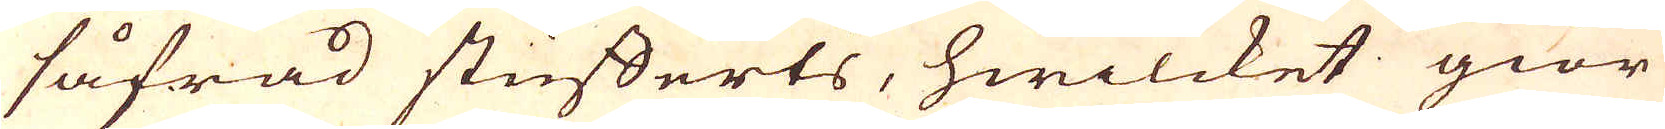såfrad stufferts, hwilcket giör
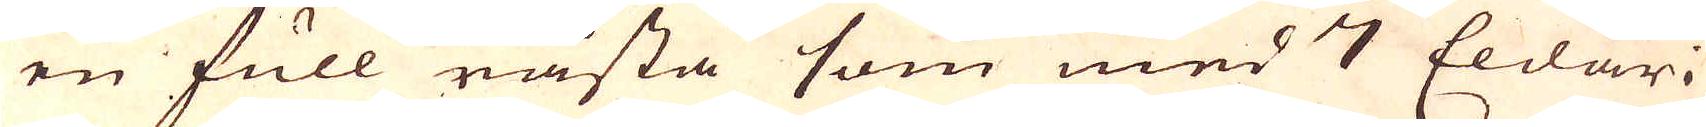en full råsta som med 7 Eldar i
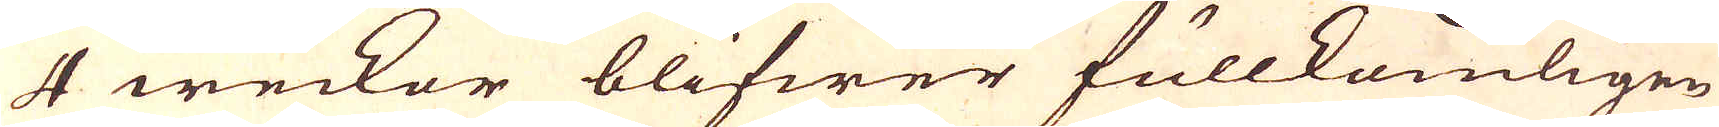4 weckor blifwer fullkomligen
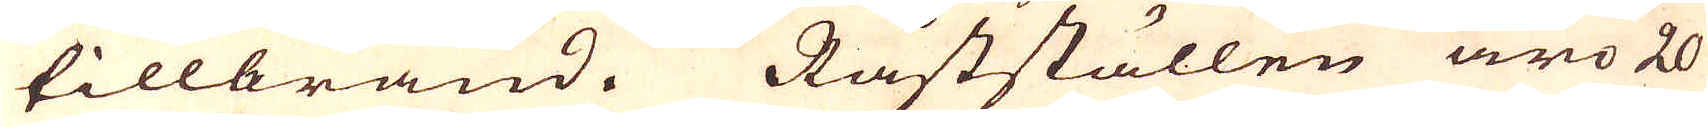tillbränd. Råstställen äro 20
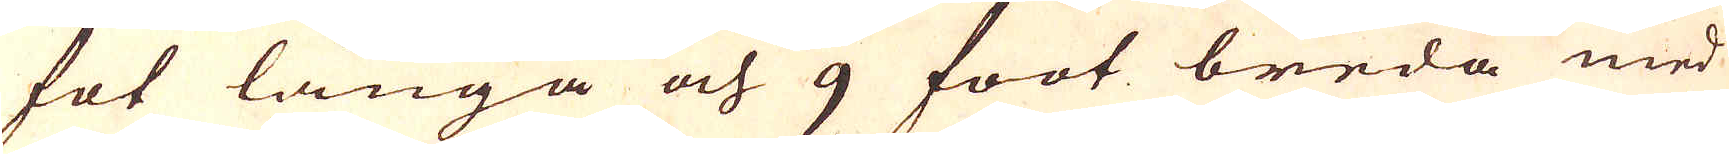fot långa och 9 foot breda med
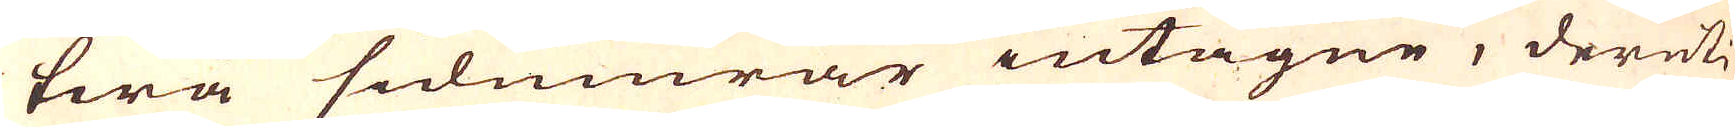twa sidmurar intagne, deruti
